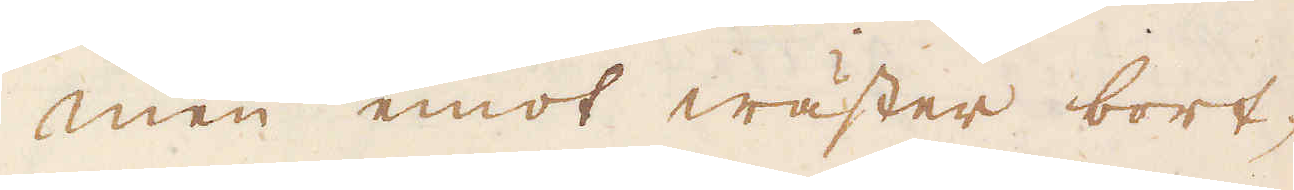Men emot wäster bort-
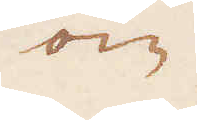om
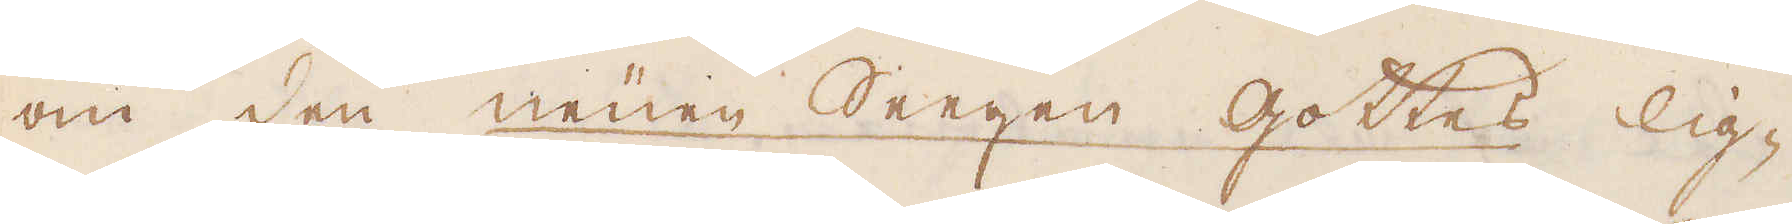om den neüen Seegen Gottes lig-
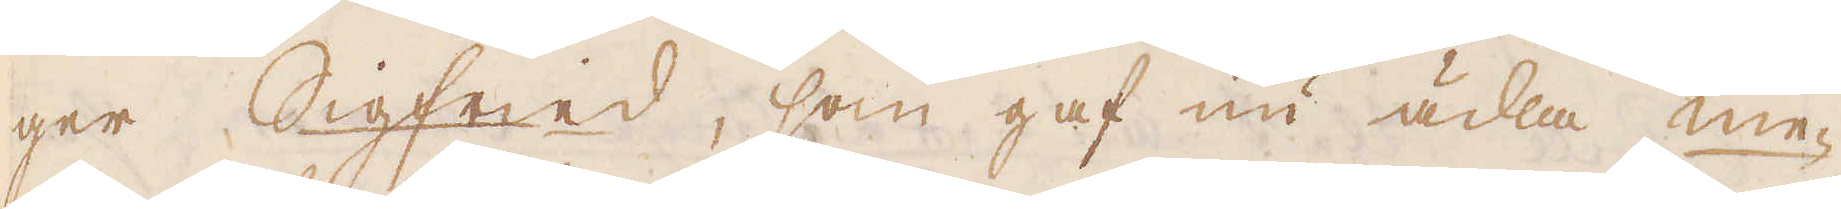ger Sigfeed, som gaf nu ädla me-
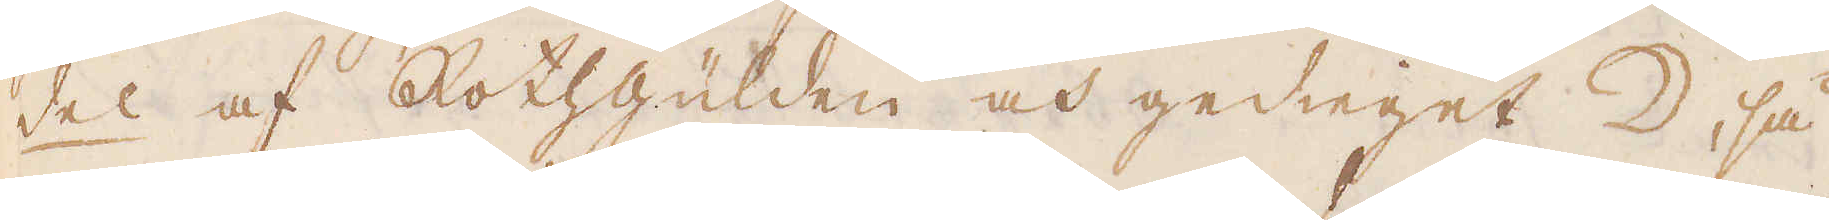del af Rothgülden och gedieget ☽, så
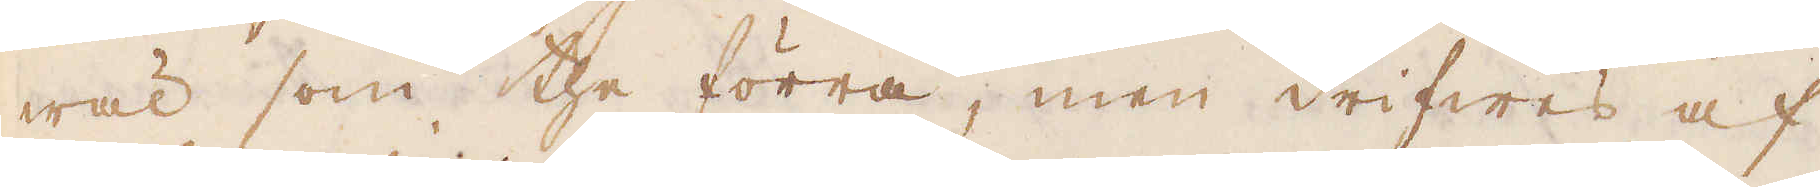wäl som the förra, men drifwes af
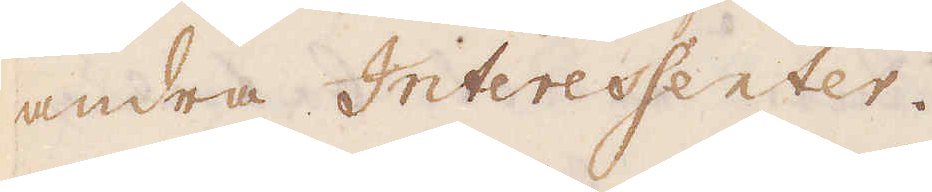andra Interessenter.
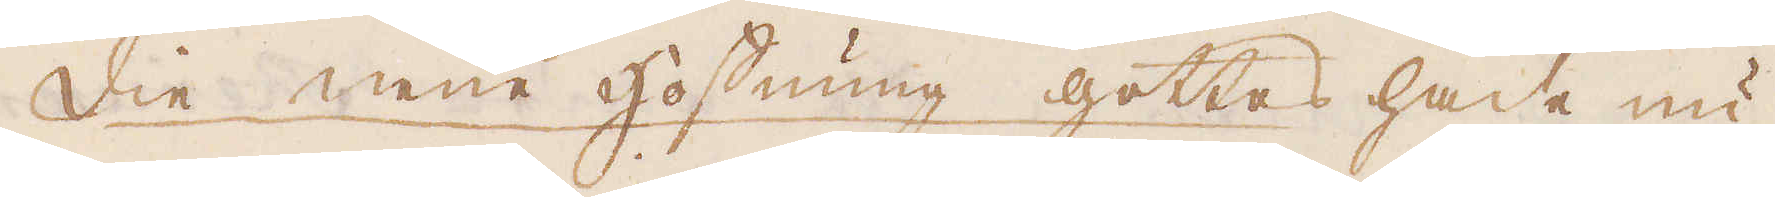Die neüe hoffnung Gottes hade nu
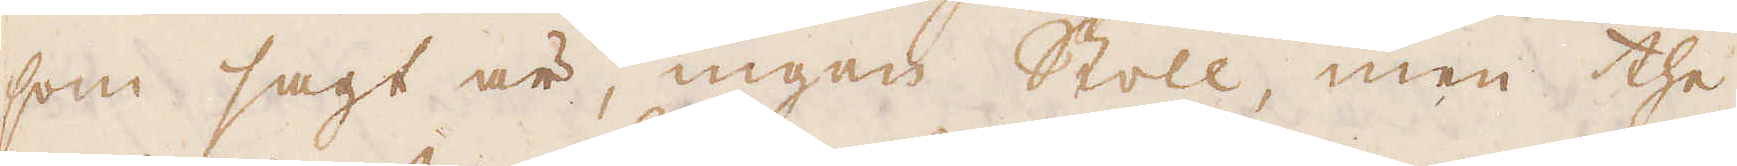som sagt är, ingen Stoll, men the
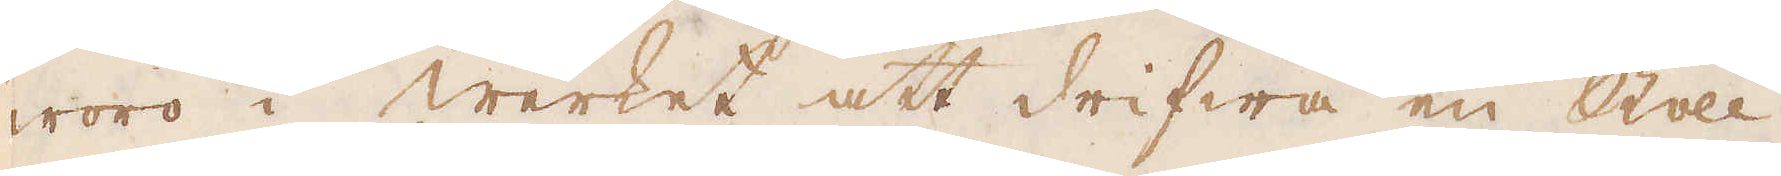woro i werket att drifwa en Stoll
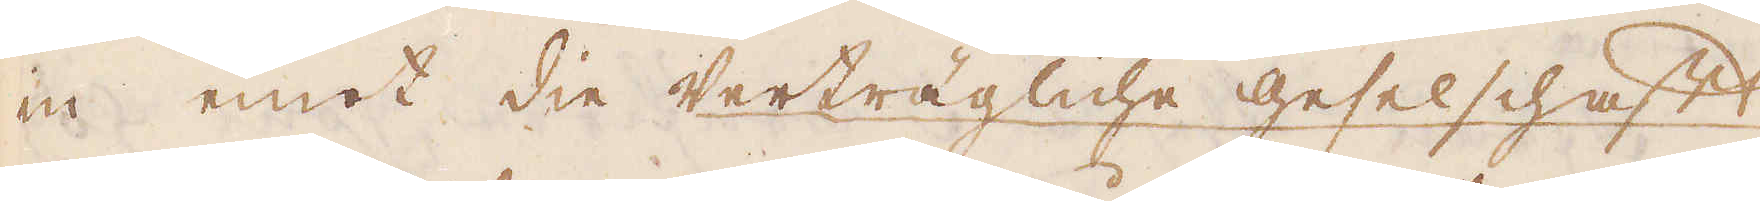in emot die Verträgliche geselschafft
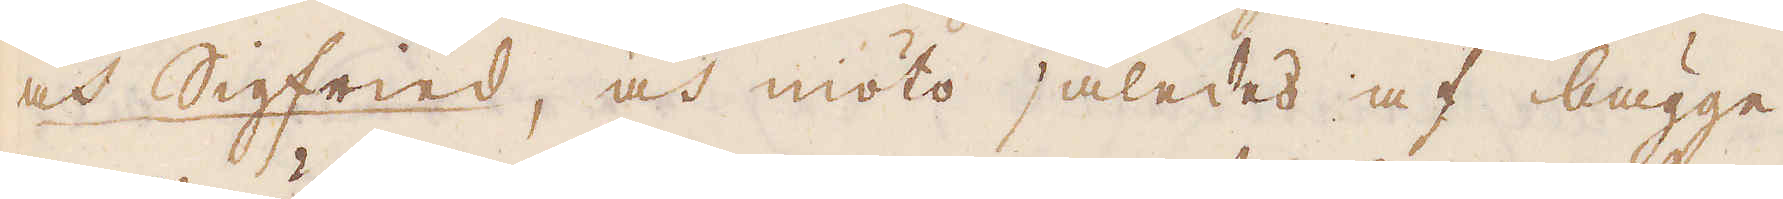och Sigfried, och möto således af bägge
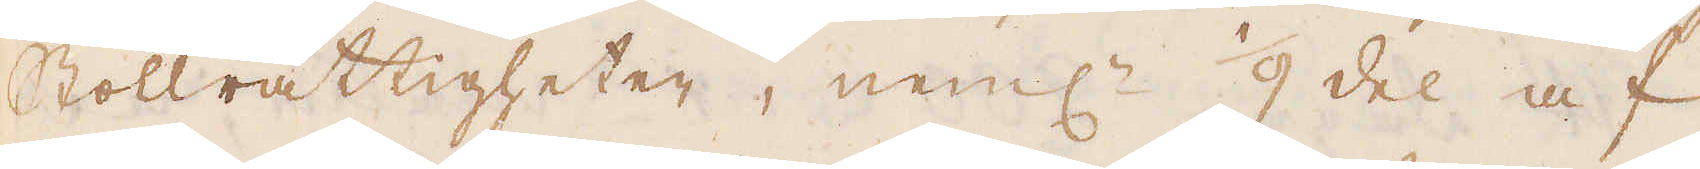Stollrättigheter, neml: 1/9 del af
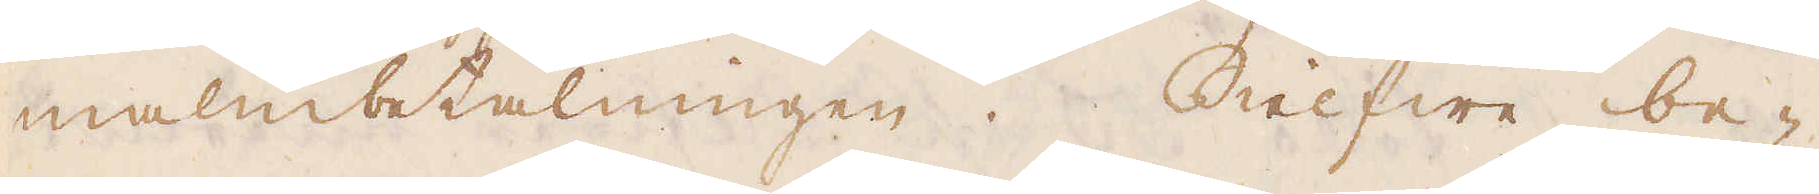malmbetalningen. Sielfwe be-
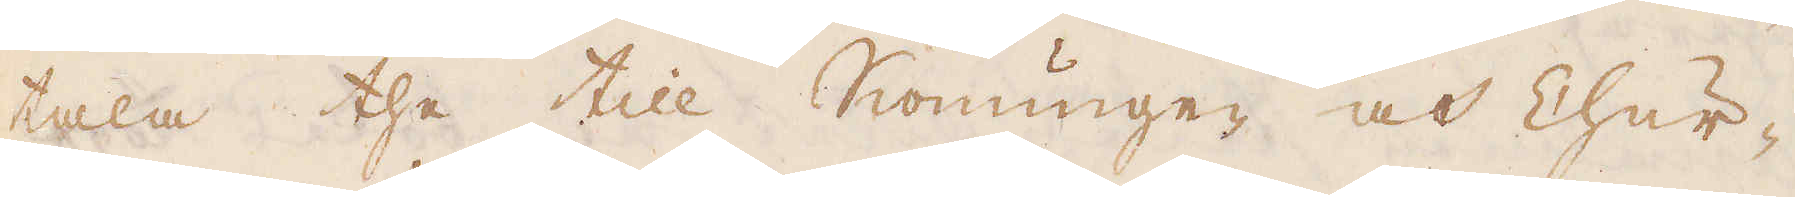tala the till Konungen och Chur-
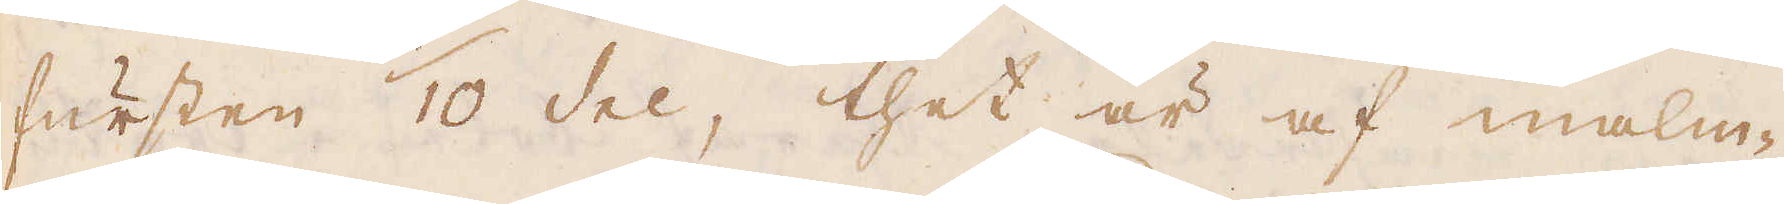fursten 1/10 del, thet är af malm-
